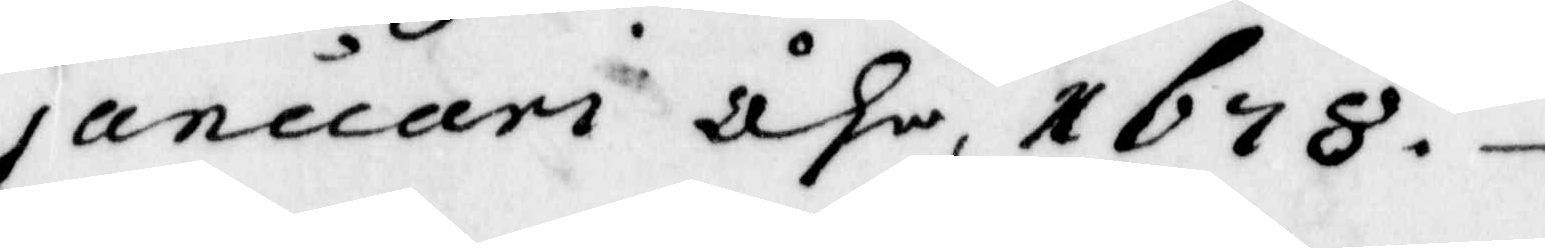januari åhr 1678.
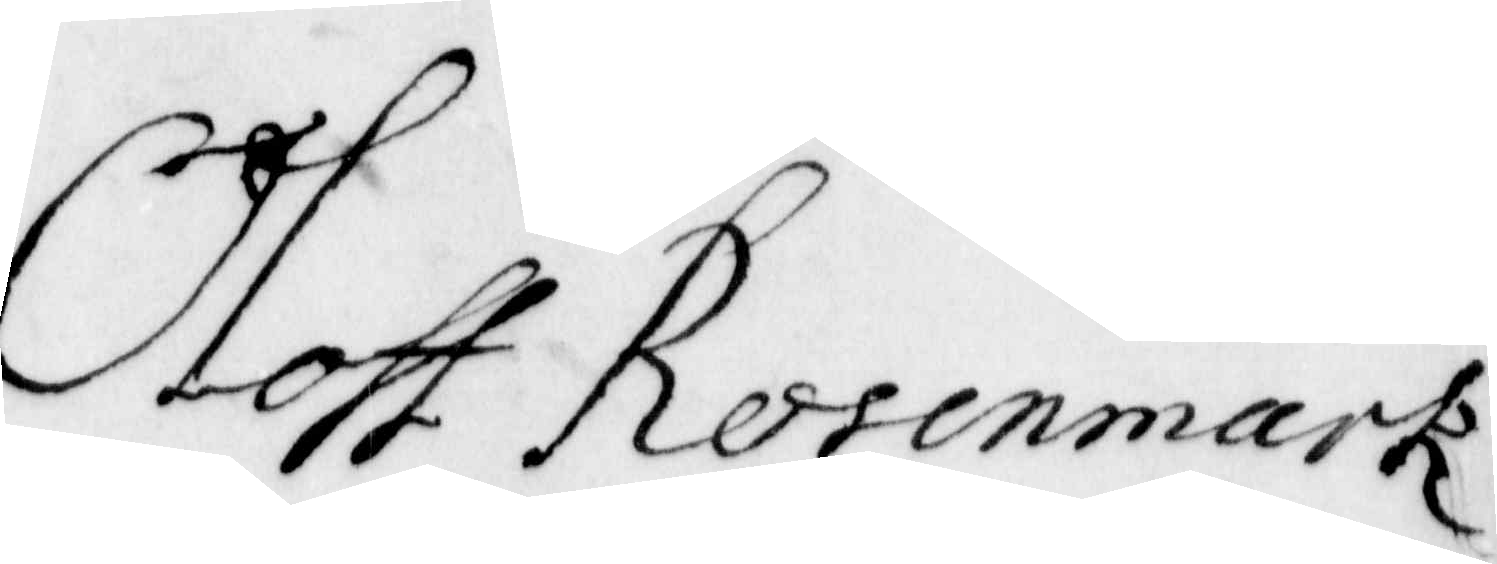Oloff Rosenmark
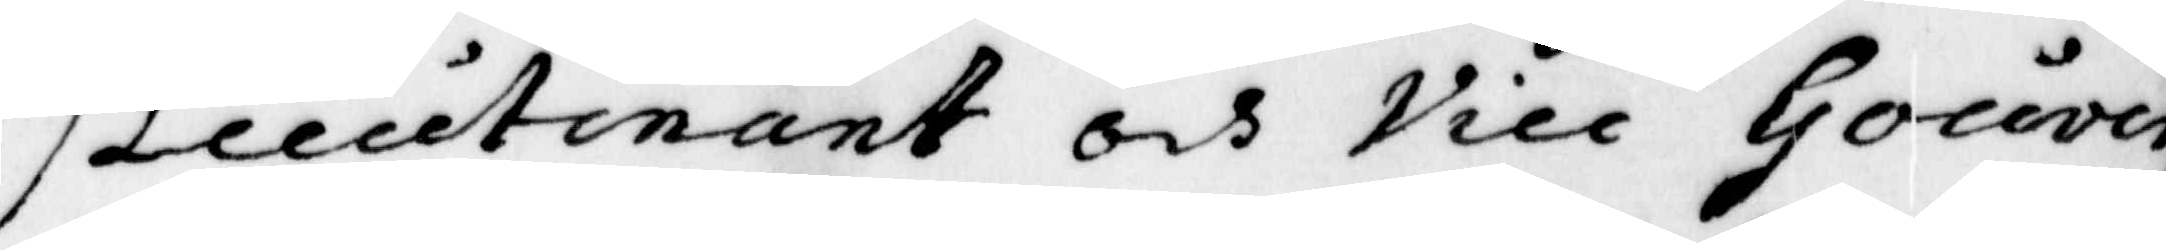Lieutnant och vice Gouver¬
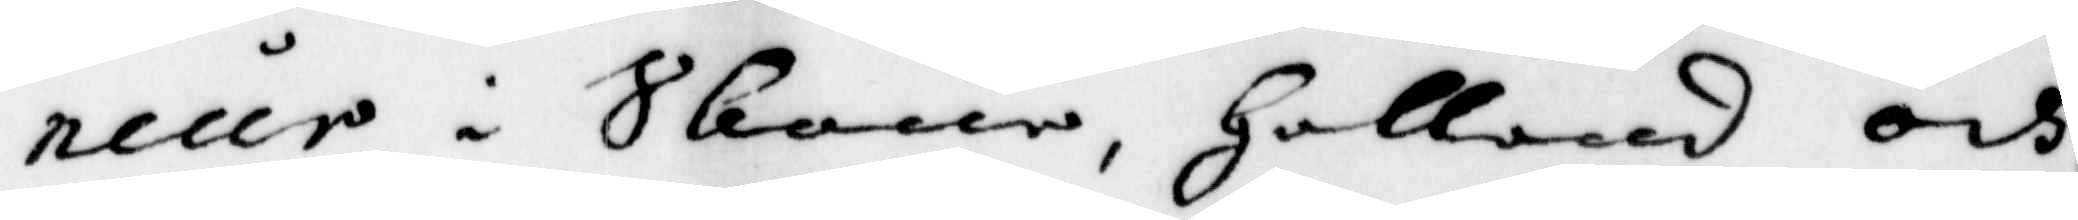neur i Skone, Halland och
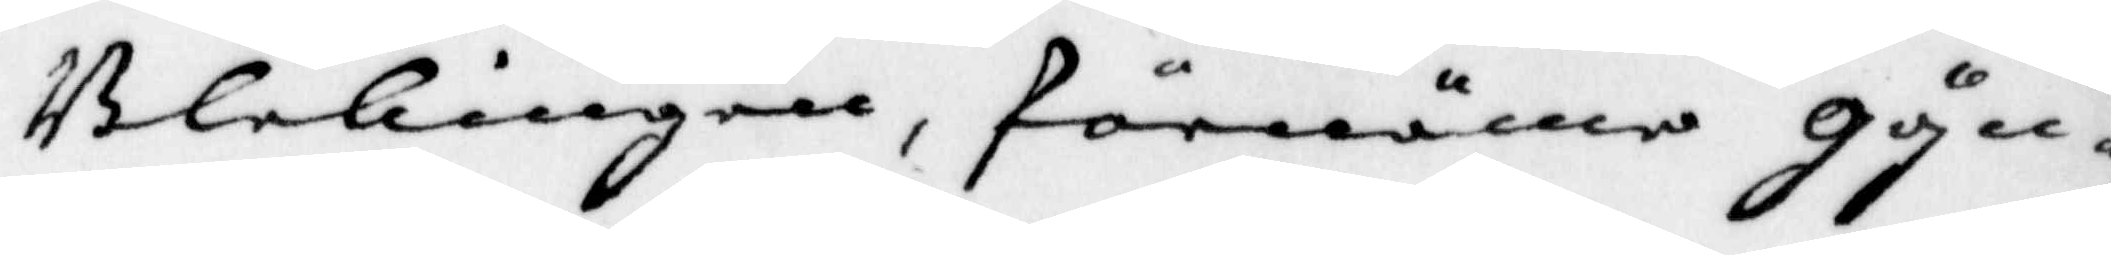Blekingen, förnäme gyn¬
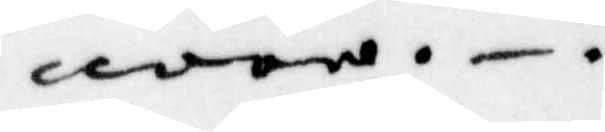nare.
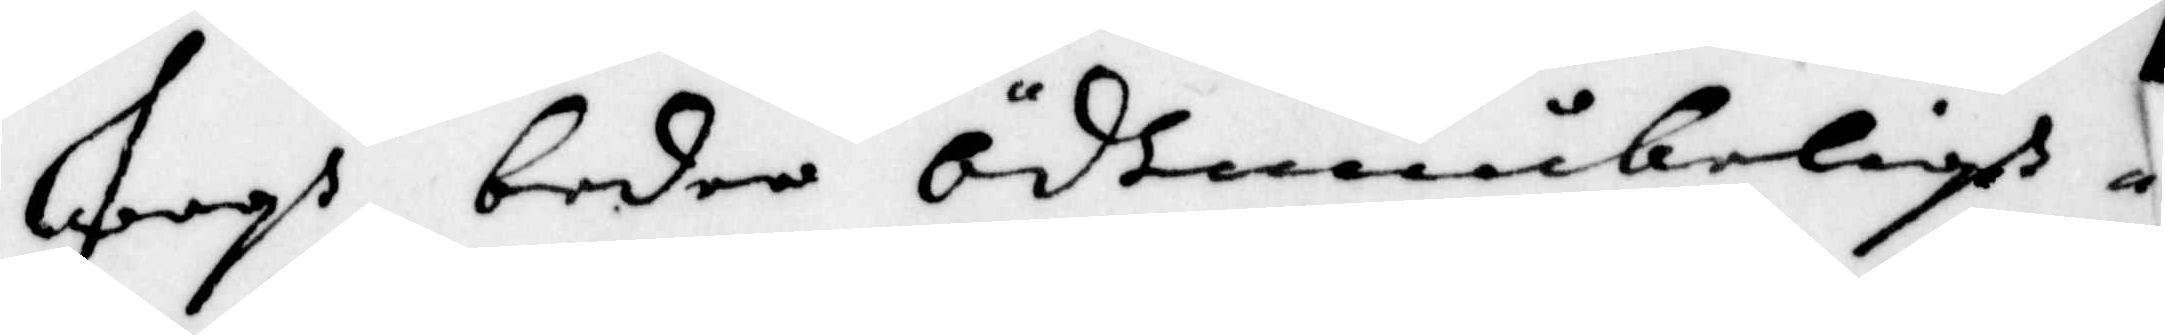Jagh beder ödmiukeligh
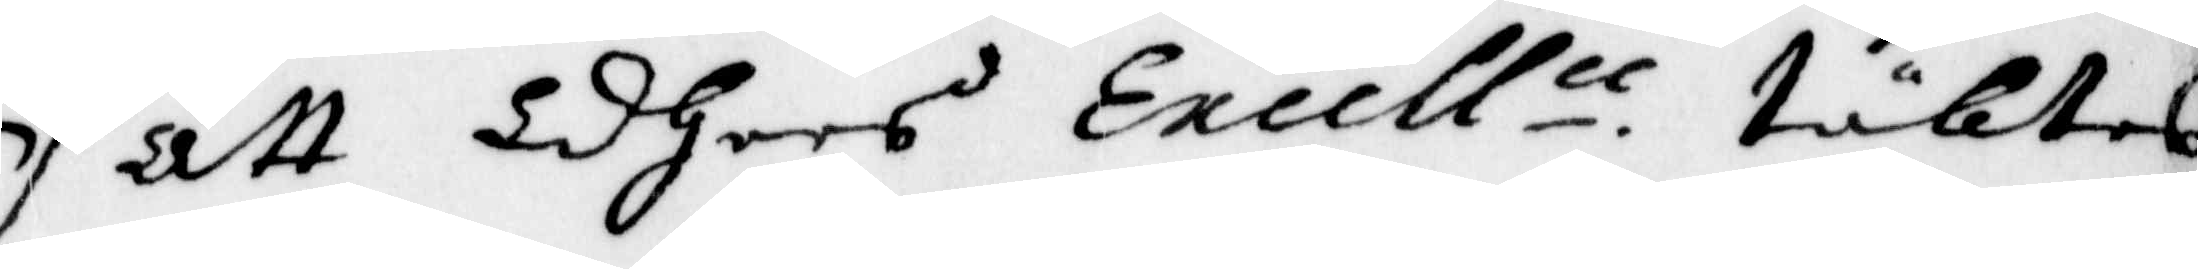att Eders Excell.n täktes
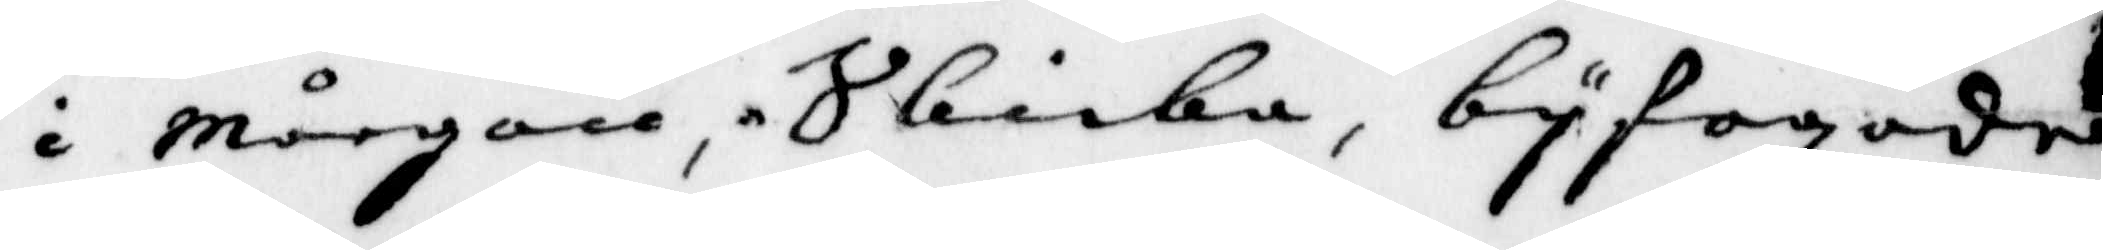i mårgon skicka, byfogade
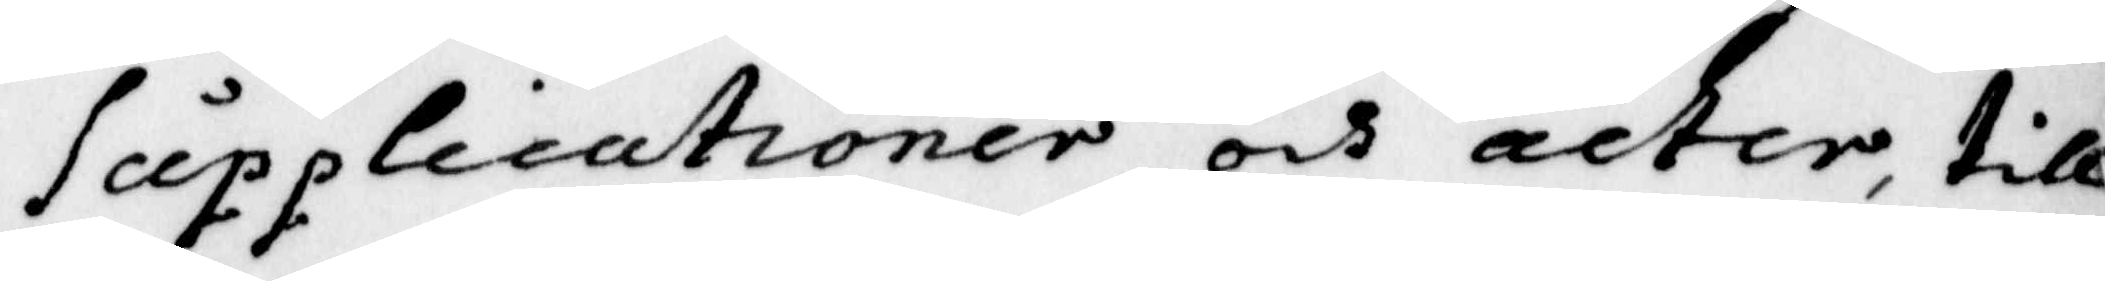Supplicationer och acter, till
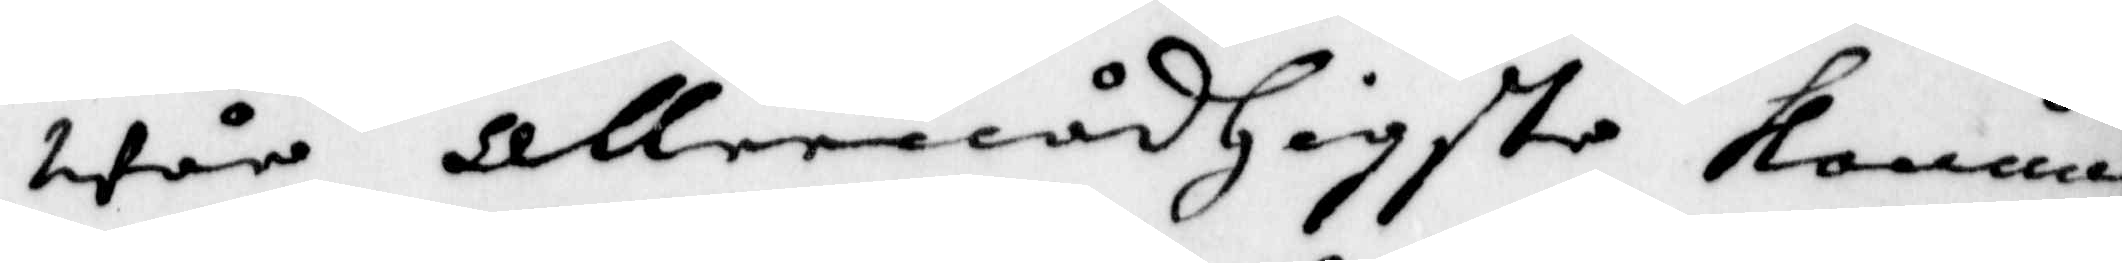wår allernådigste Konung
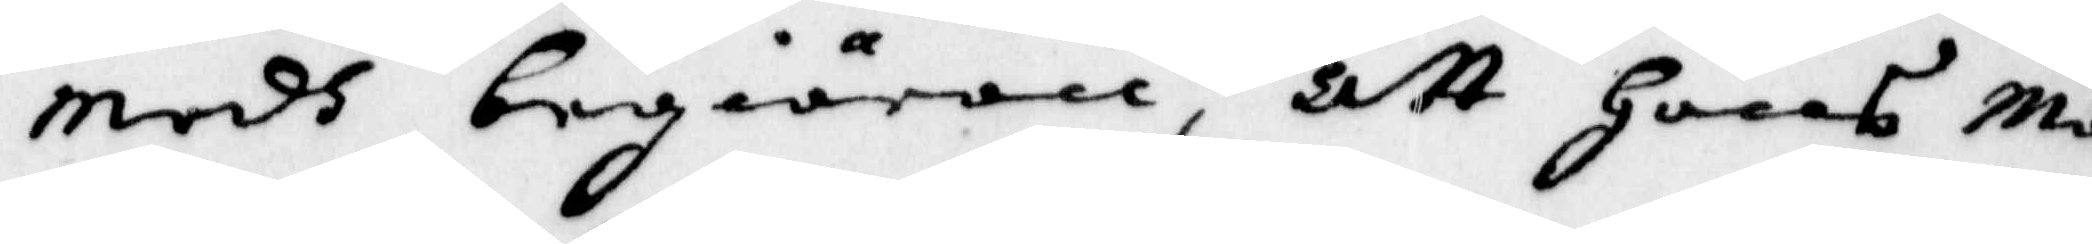medh begiäran, att Hans Ma¬
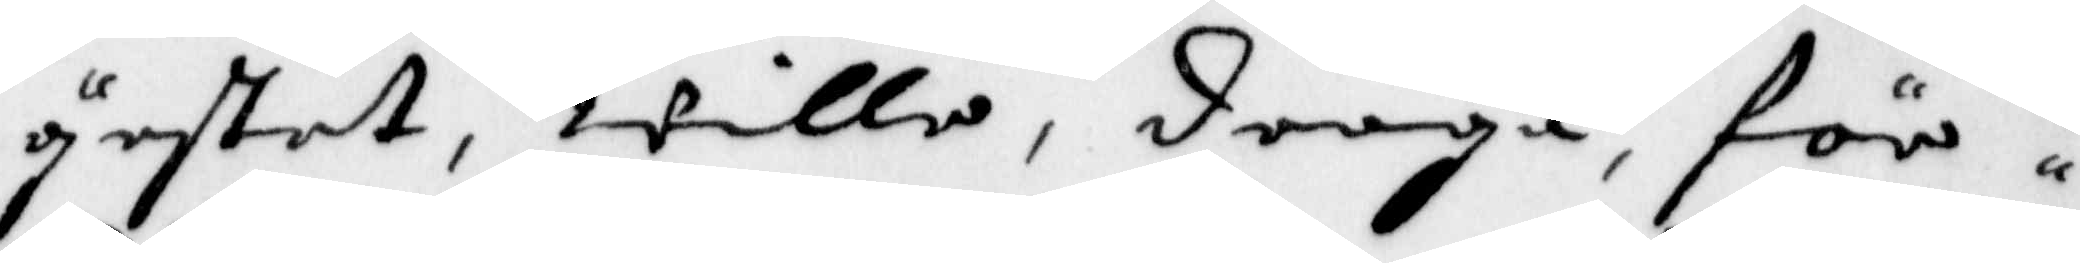yestet, wille, draga för
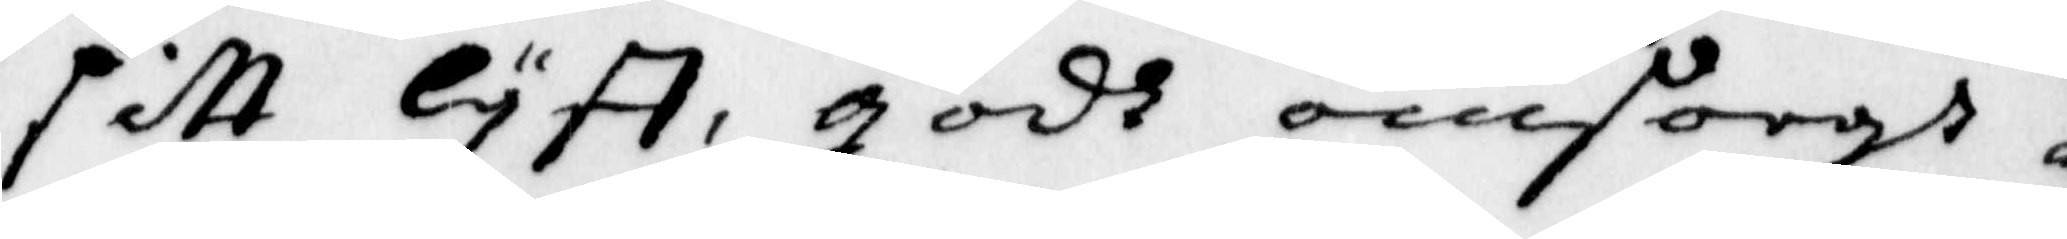sitt Lyff, godh omsorgh
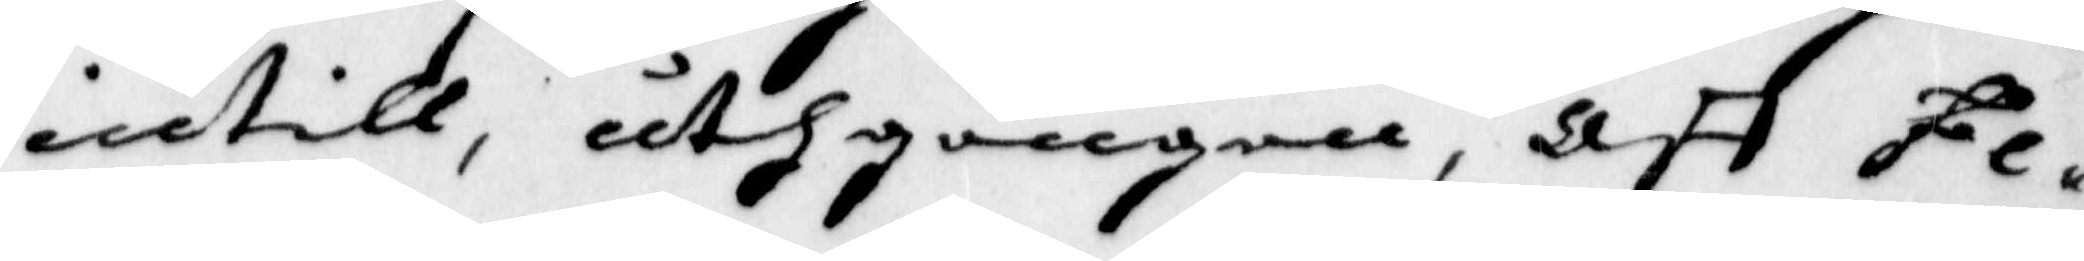intill, uthgången, aff Fe¬
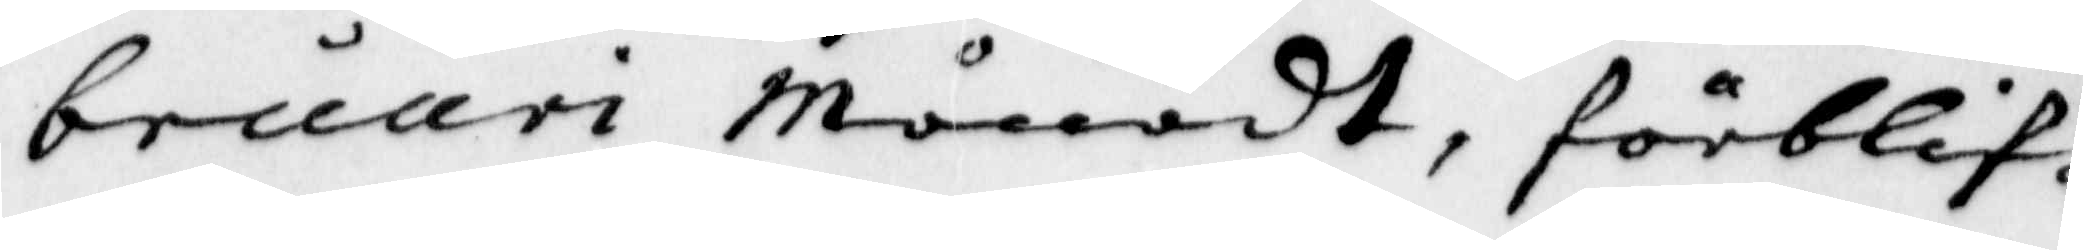bruari Månadt, förblif¬
